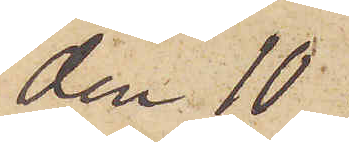den 10
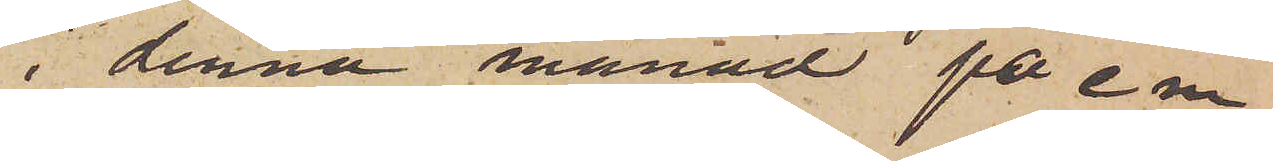i denna månad på e m,
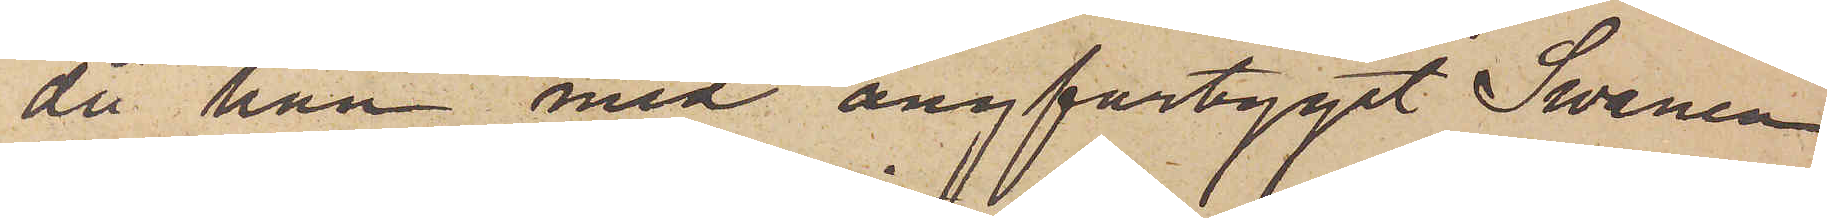då han med ångfartyget Swanen
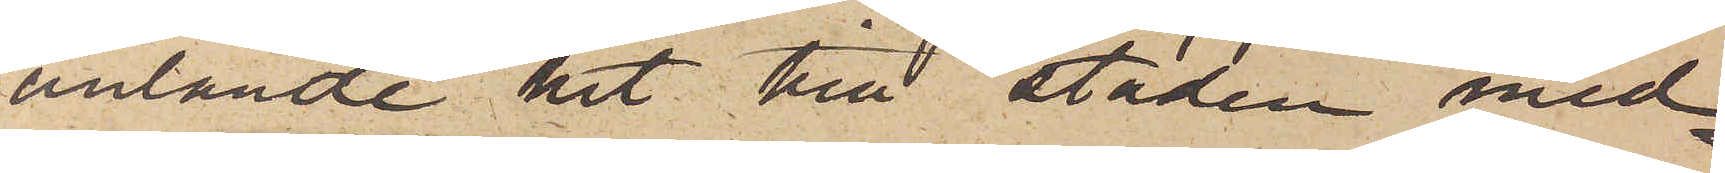anlände hit till staden med¬
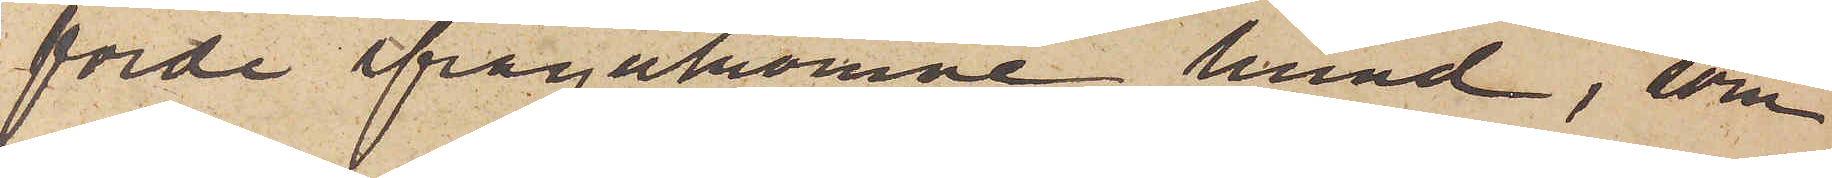förde ifrågakomne hund, som
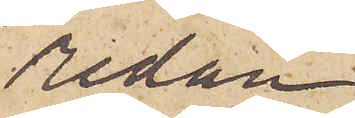redan
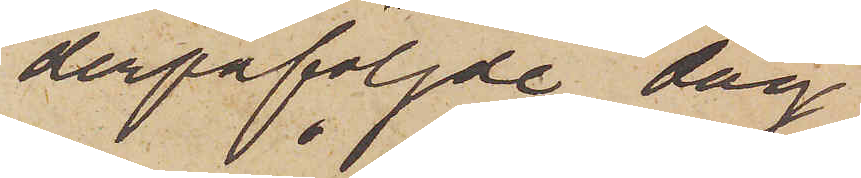derpåföljde dag
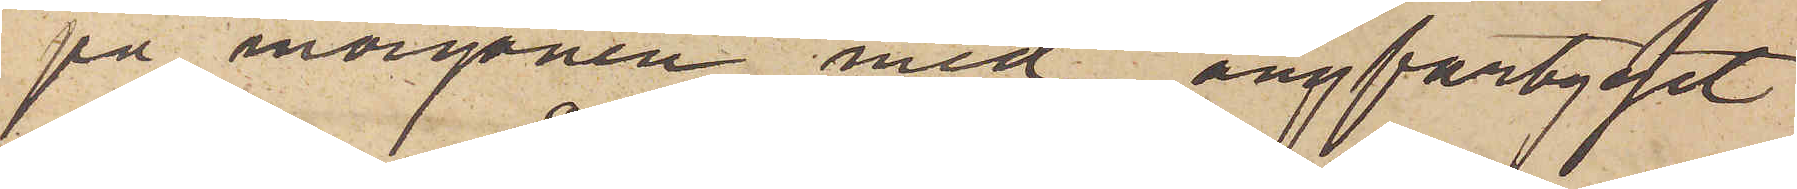på morgonen med ångfartyget
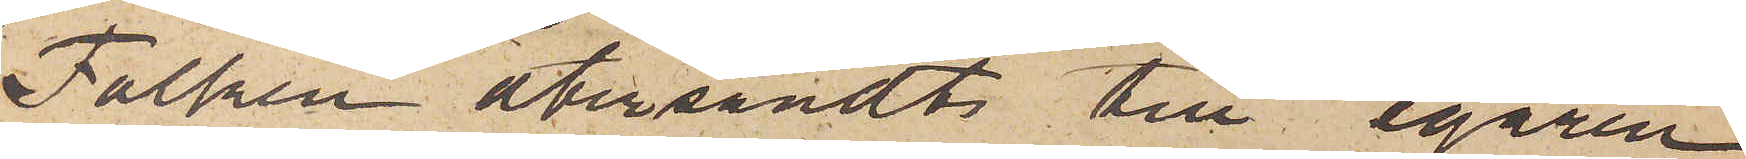Falken återsändts till egaren,
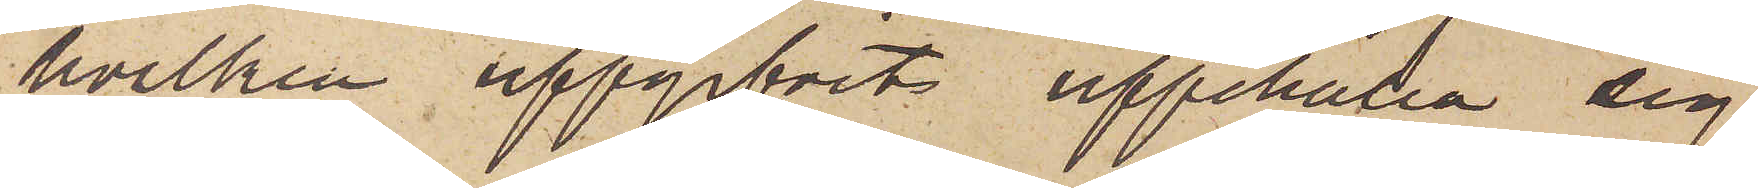hvilken uppgifvits uppehålla sig
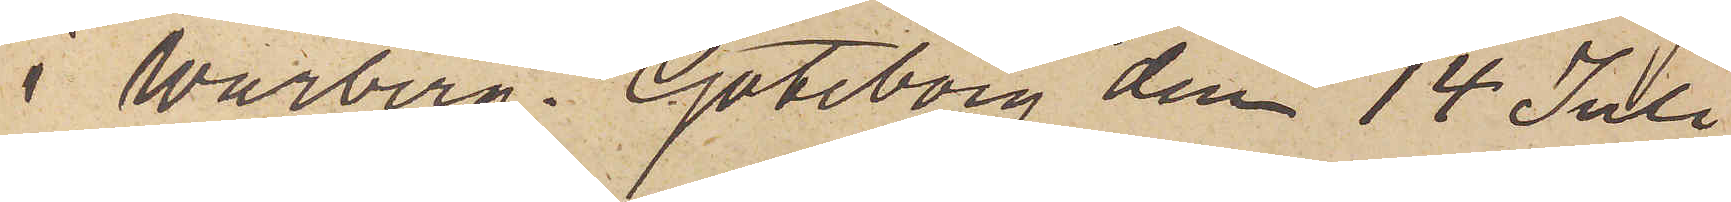i Warberg. Göteborg den 14 Juli
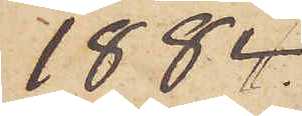1884.
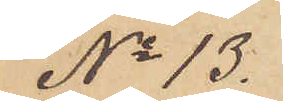No 13.
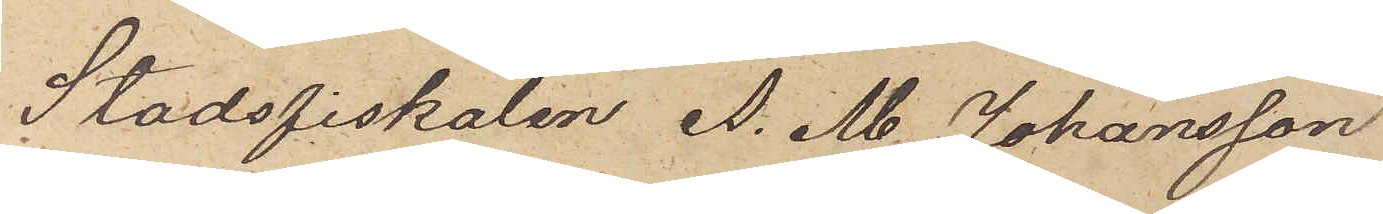Stadsfiskalen A. M. Johansson
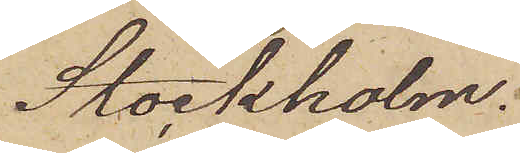Stockholm.
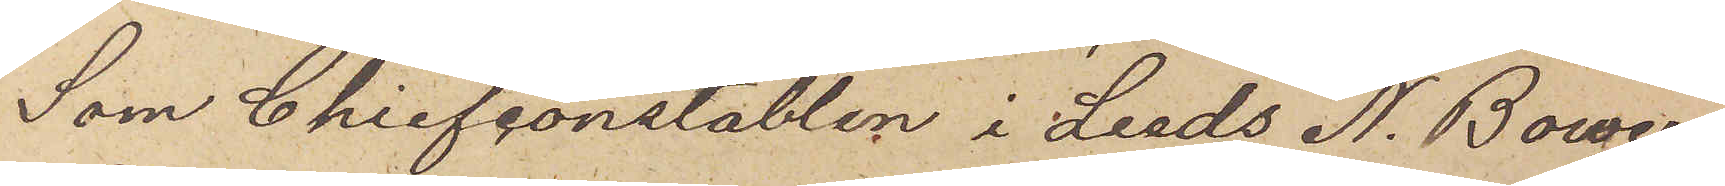Som Chiefconstablen i Leeds N. Bower
